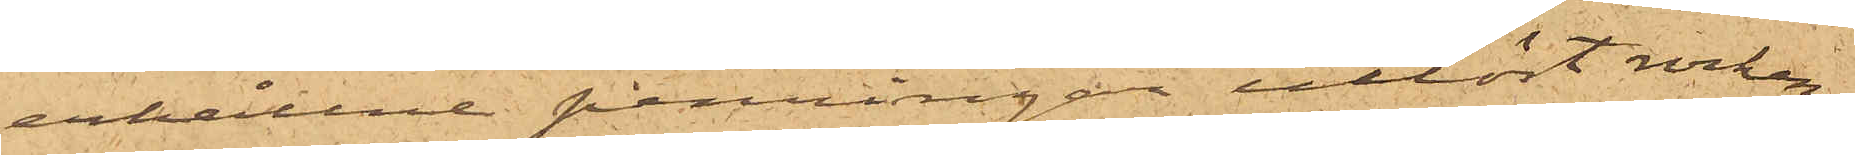erhållne penningar utlöst rocken;
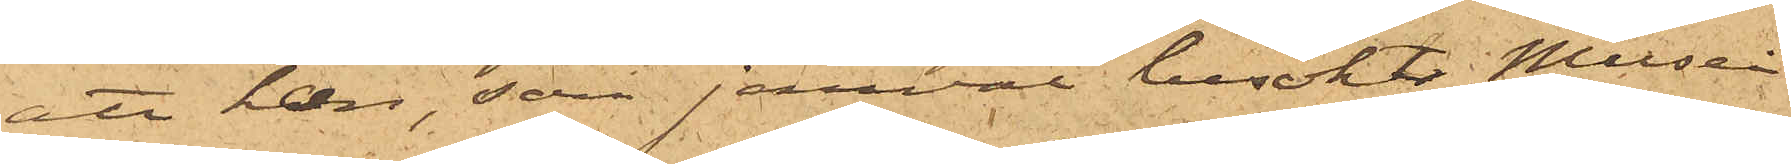att han, som jemväl besökt Musei
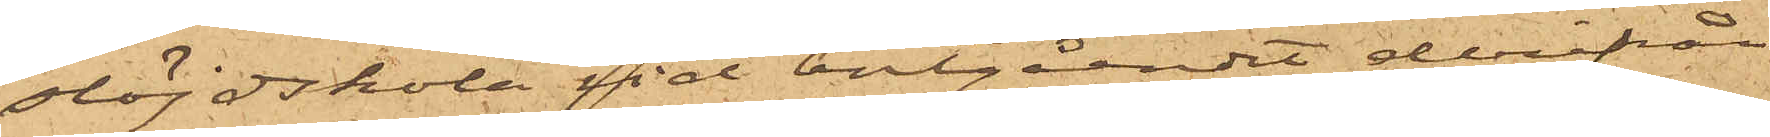slöjdskola vid bortgåendet derifrån
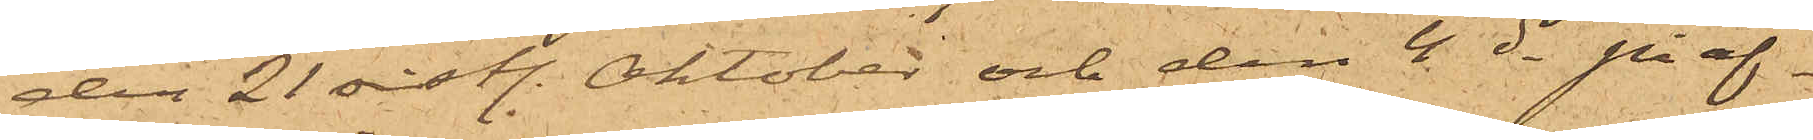den 21 sist. Oktober och den 4 ds på af¬
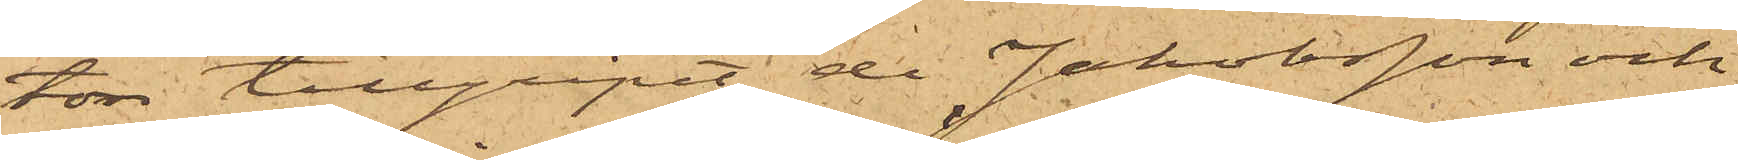ton tillgripit de Jakobsson och
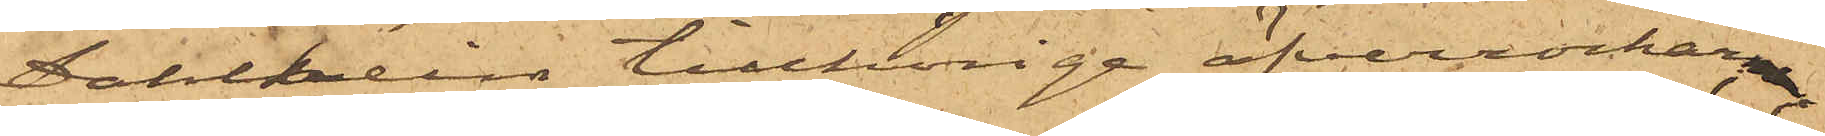Dahlstein tillhörige öfverrockar;
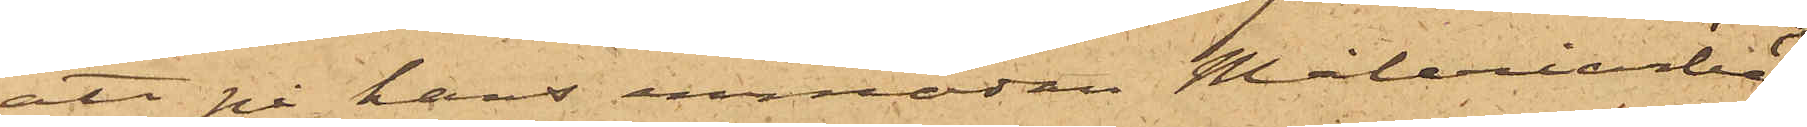att på hans anmodan Måleriarbe¬
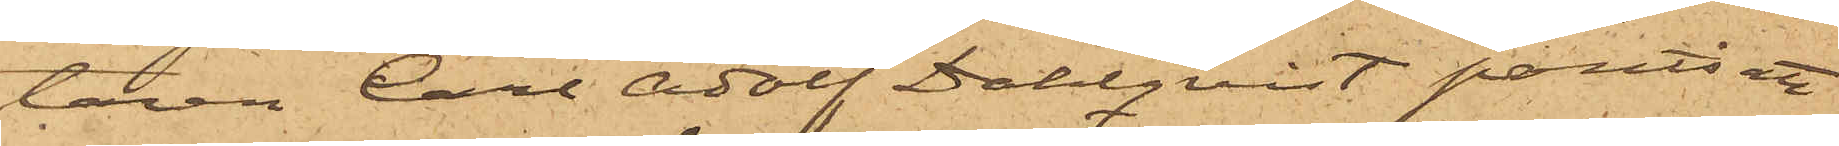taren Carl Adolf Dahlqvist pantsatt
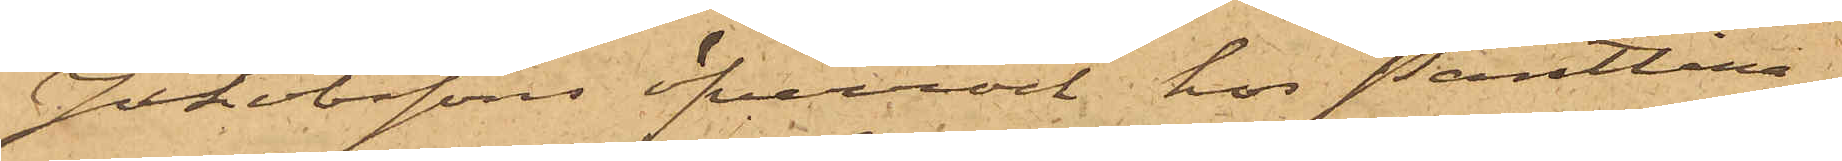Jakobssons öfverrock hos Pantlåna¬
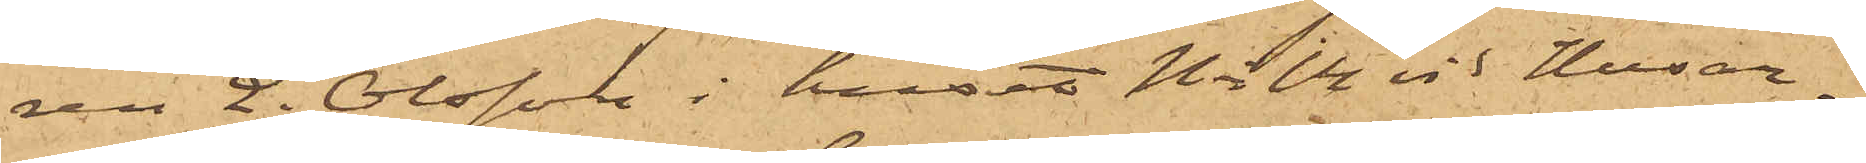ren E. Olsson i huset No 14 vid Husar¬
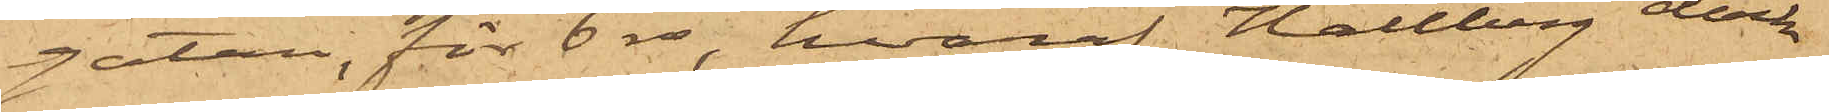gatan, för 6 rdr, hvaraf Hallberg dock
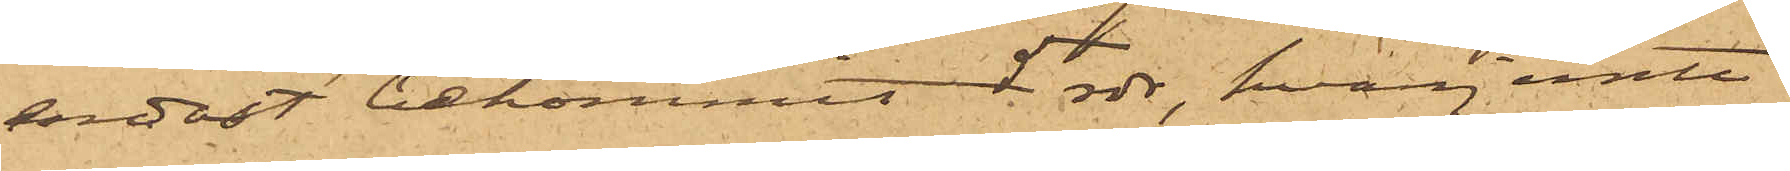endast bekommit 5 rdr, hvarjemte
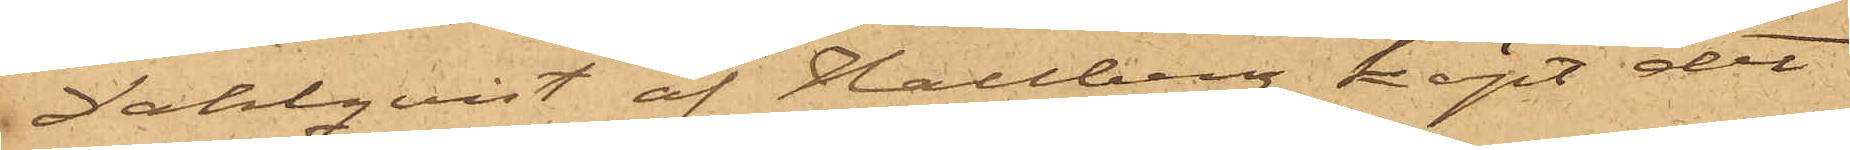Dahlqvist af Hallberg köpt det
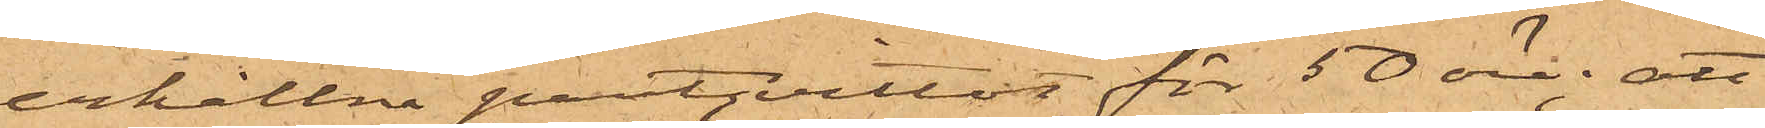erhållna pantqvittot för 50 öre; att
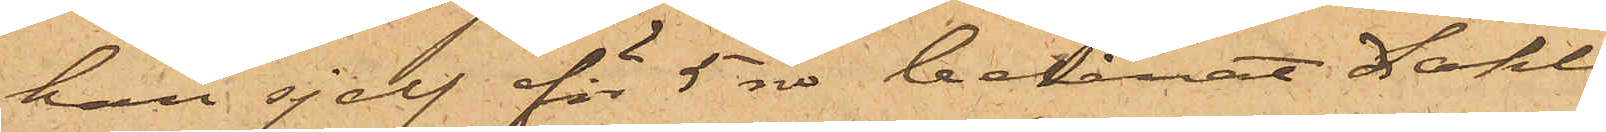han sjelf för 5 rdr belånat Dahl¬
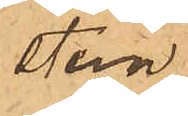steins
